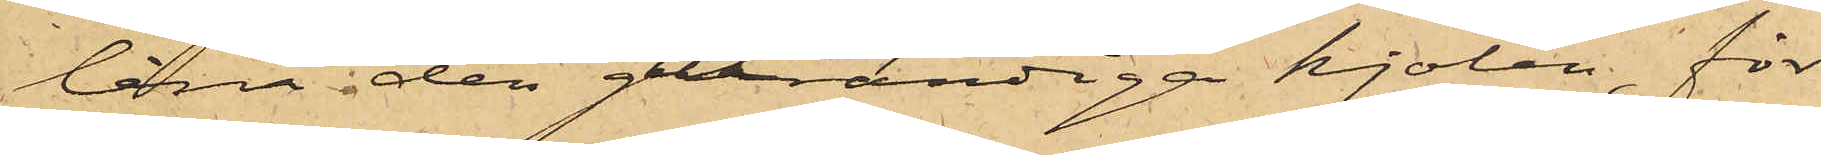låna den gulrandiga kjolen, för
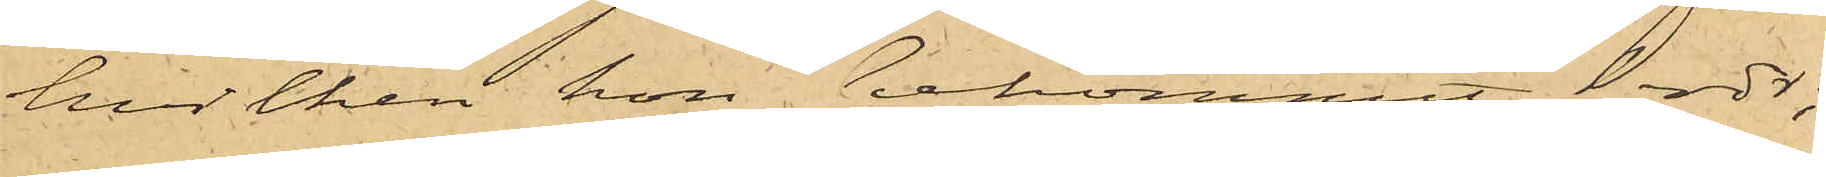hvilken hon bekommit 1 rdr;
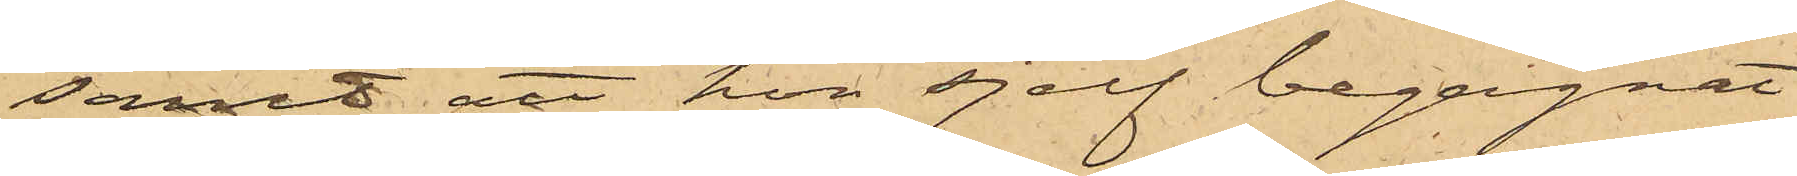samt att hon sjelf begagnat
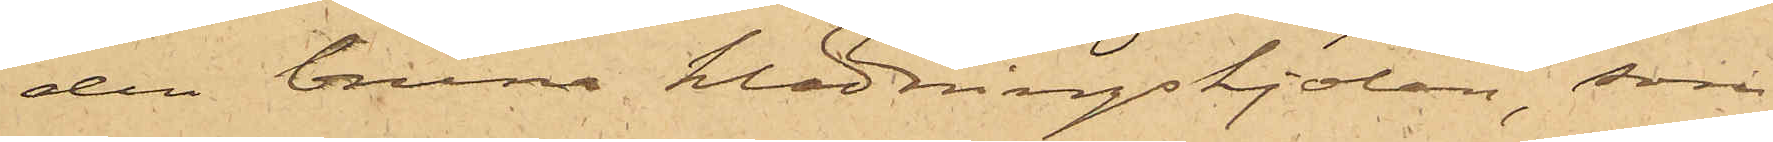den bruna klädningskjolen, som
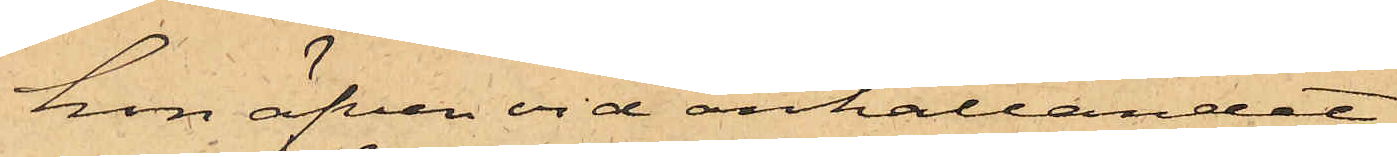hon äfven vid anhållandet
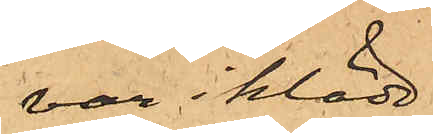var iklädd,
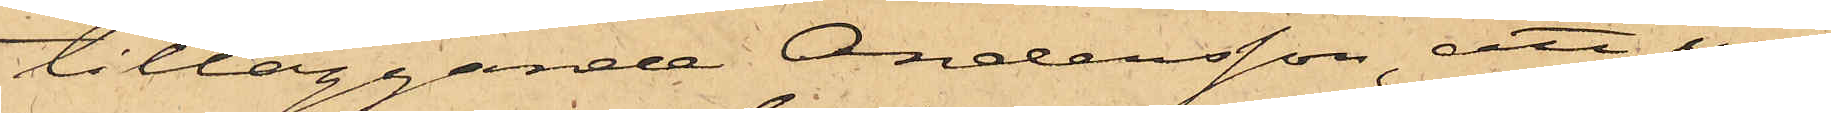tilläggande Andersson, att un¬
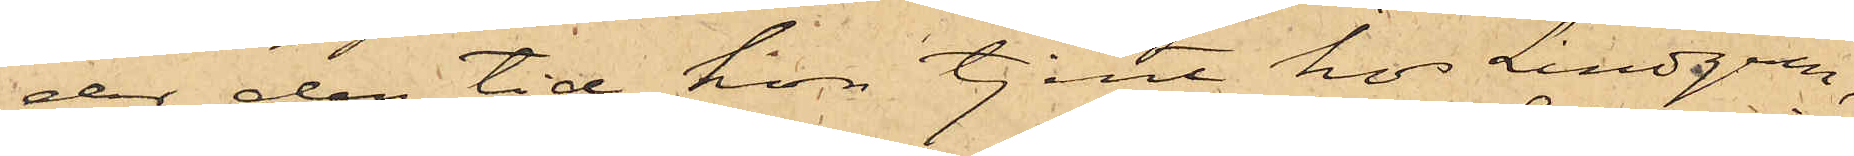der den tid hon tjent hos Lindgren,
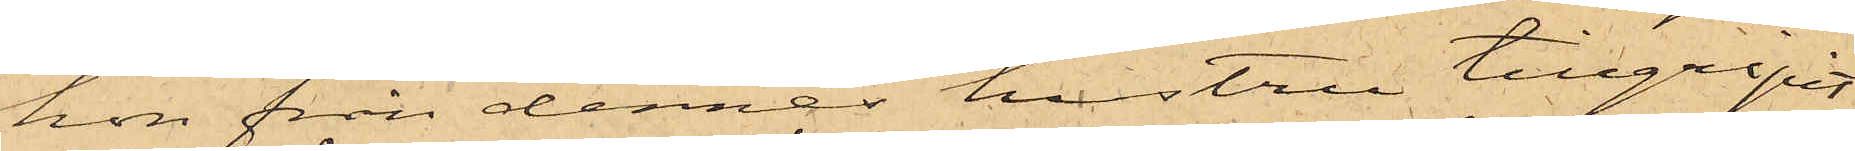hon från dennes hustru tillgripit
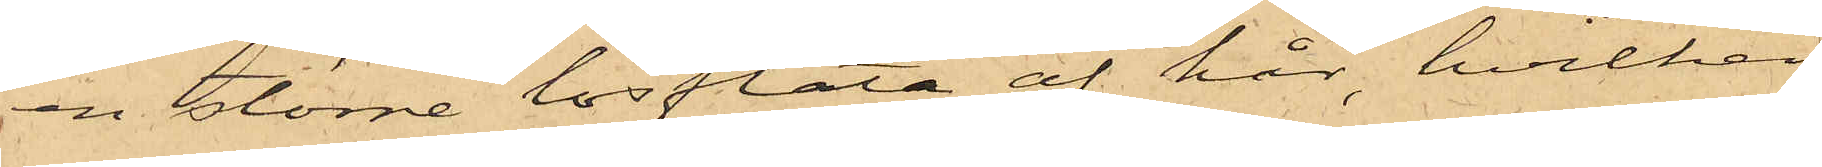en större lösfläta af hår, hvilken
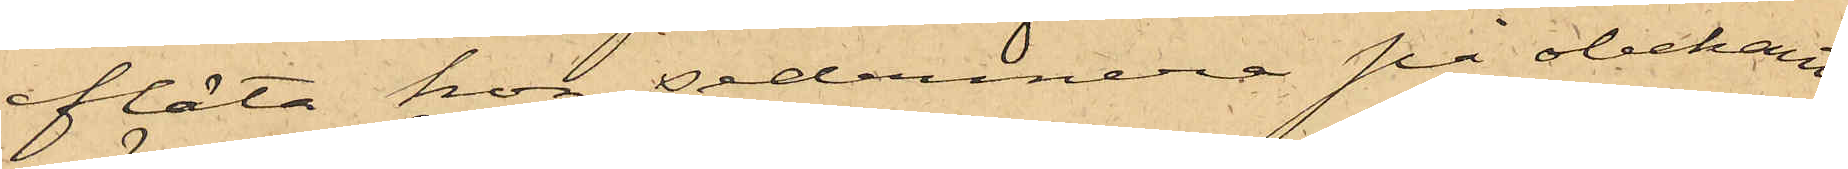fläta hon sedermera på obekant
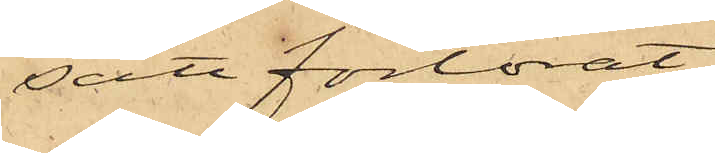sätt förlorat.
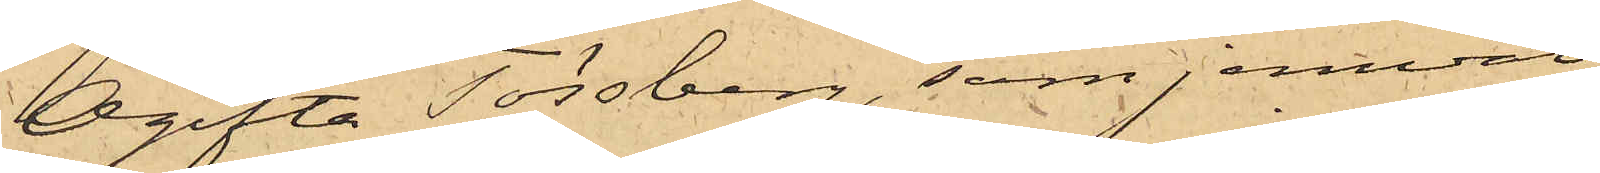Ogifta Tössberg, som jemväl
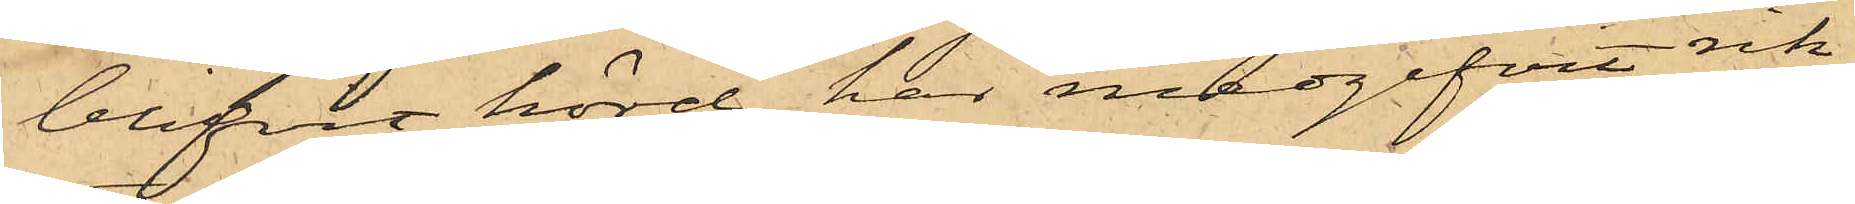blifvit hörd, har medgifvit rik¬
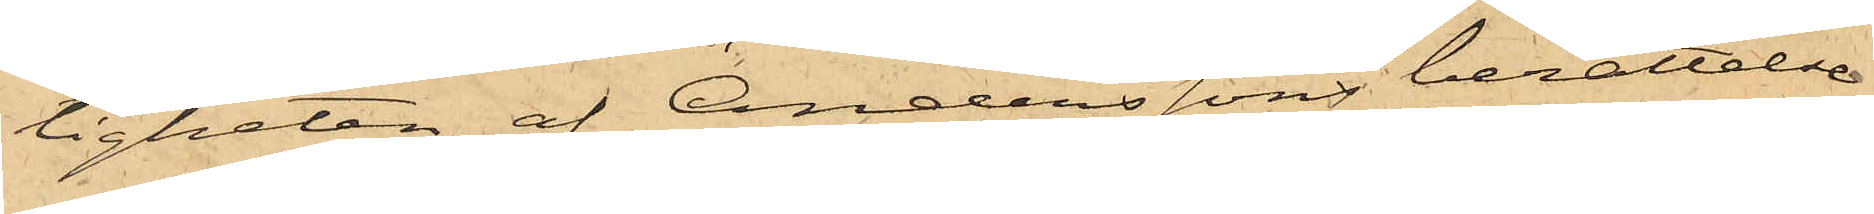ligheten af Anderssons berättelse
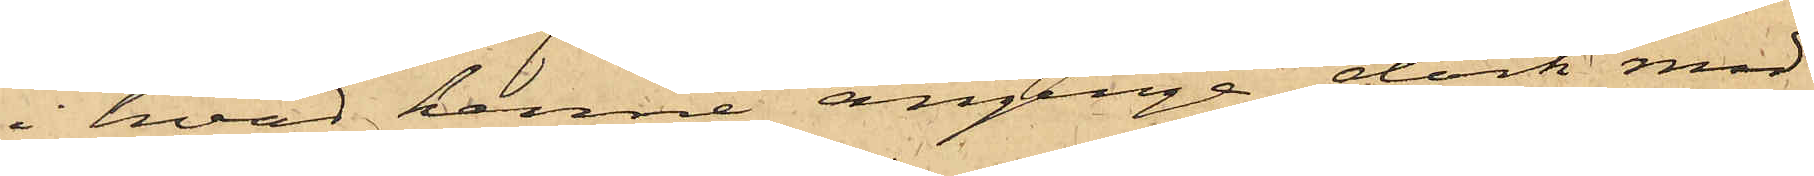i hvad henne anginge dock med
